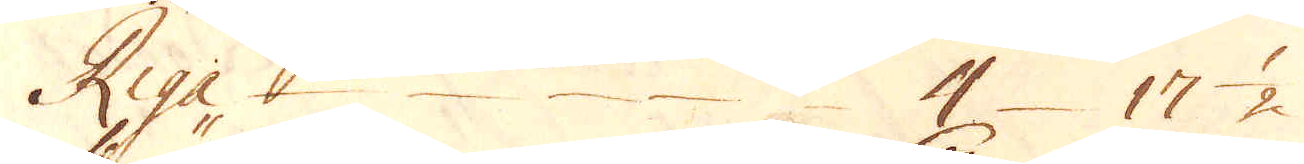Riga 4 17 1/2
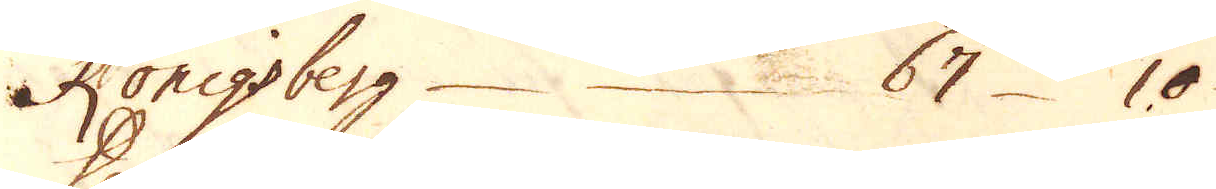Königsberg 67 10
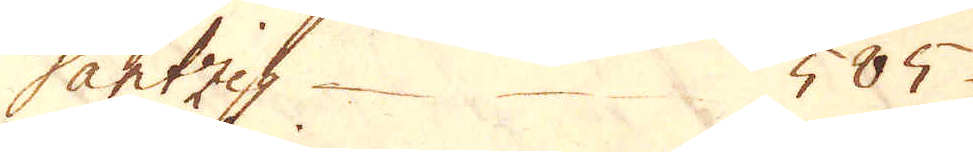Dantzig 585
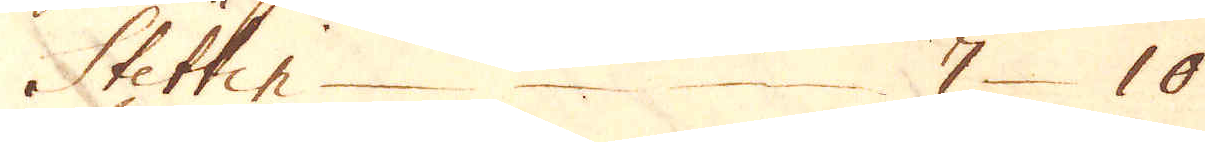Stettin 7 10
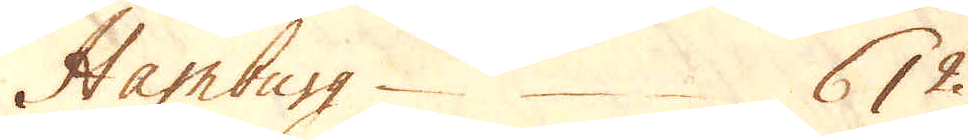Hamburg 612
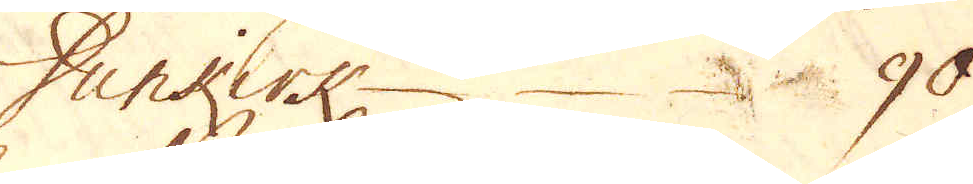Dunkirk 90
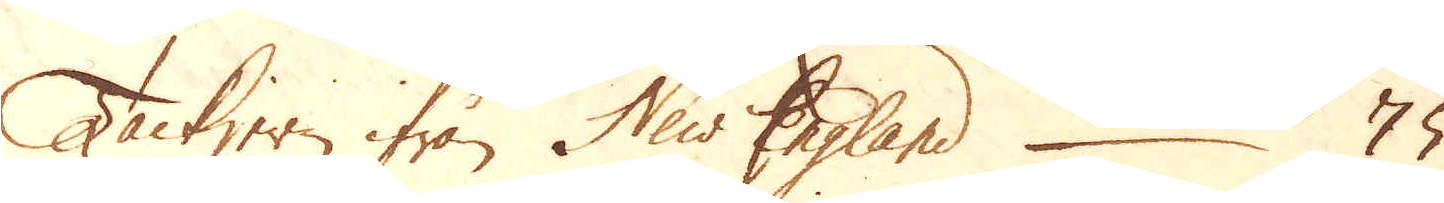Tackjern ifrån New England 75
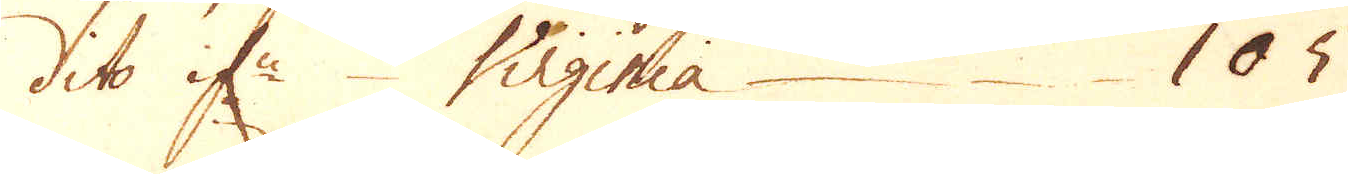dito if:n Virginia 105
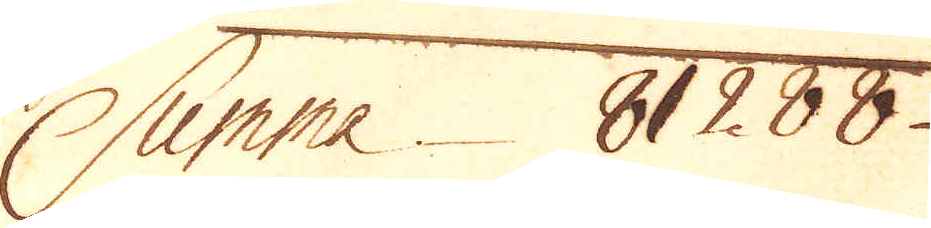Summa 81288
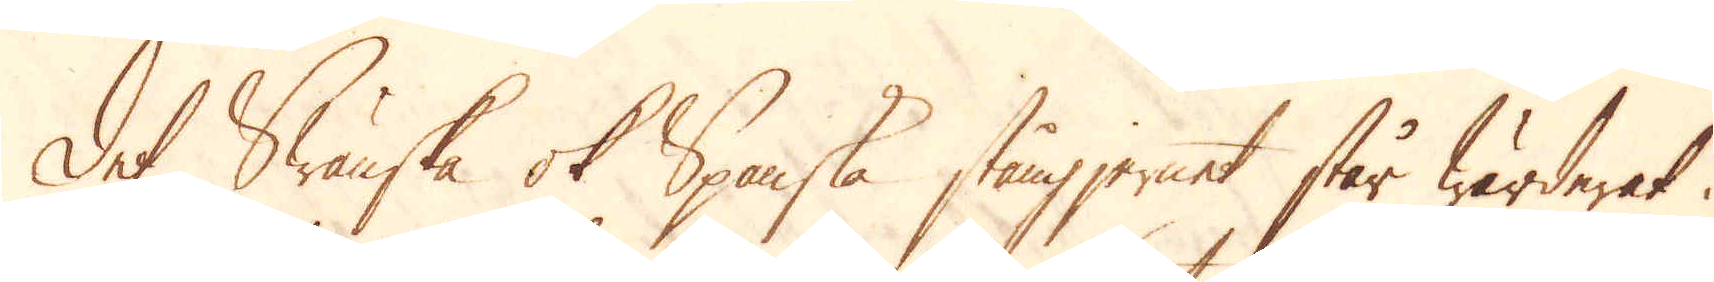Det Swänska ok Spanska stångjernet står wärderat i
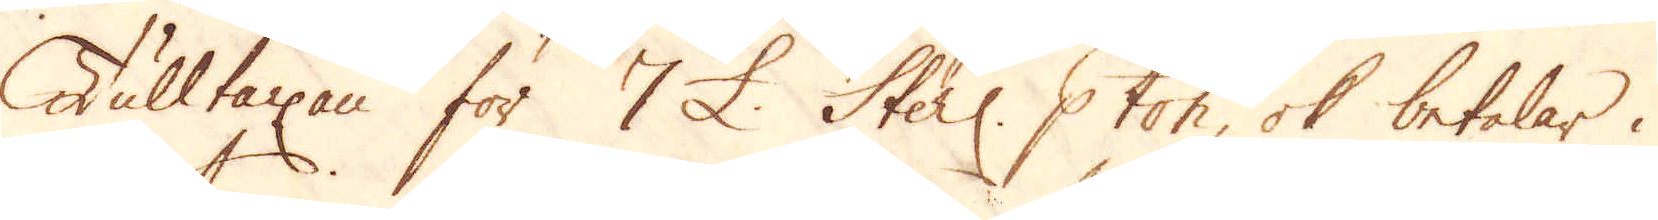Tulltaxan för 7 £. Sterl: p ton, ok betalar i
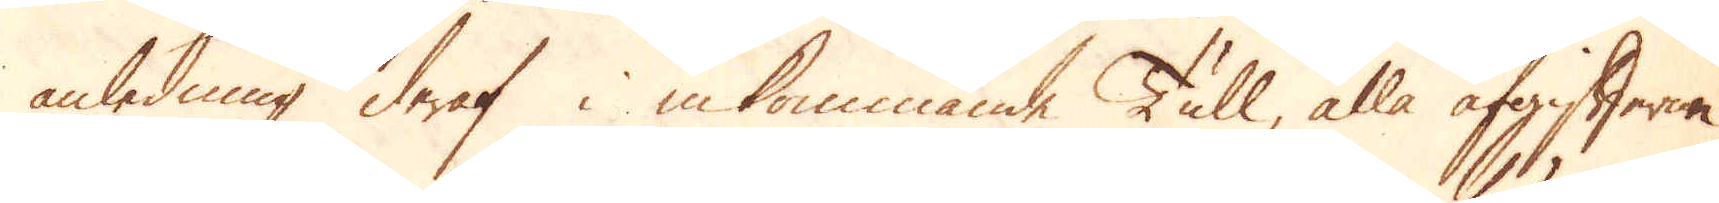anledning deraf i inkommande Tull, alla afgifterna
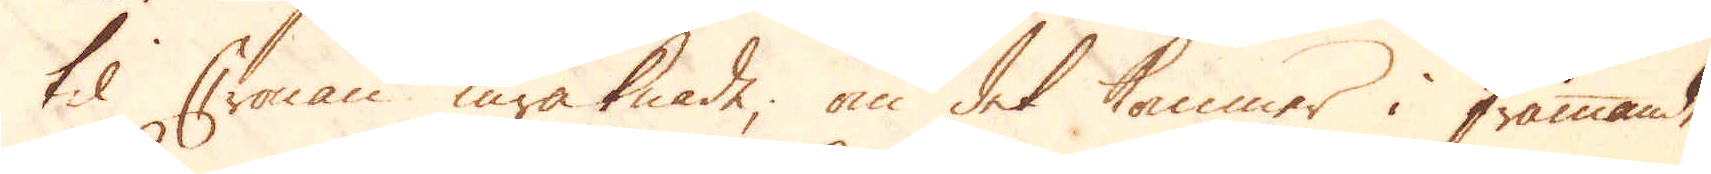til Cronan inräknade; om det kommer i främmande
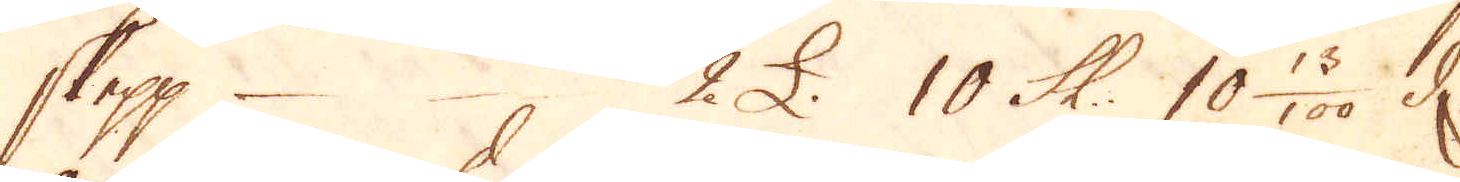skepp 2 £. 10 Sk: 10 13/100. d.
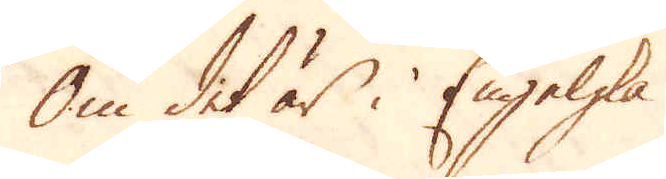Om det är i Engelska
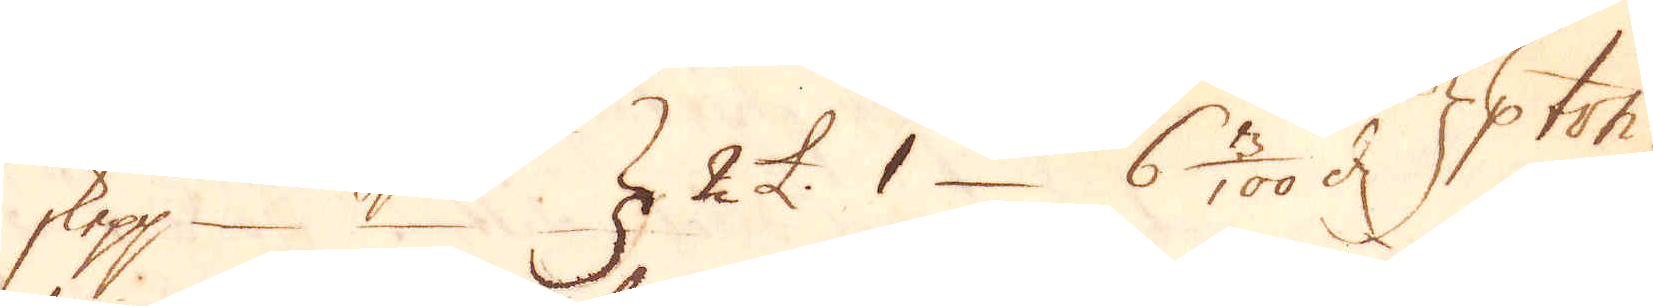skepp 2 £. 1 6 3/100. d. p ton.
